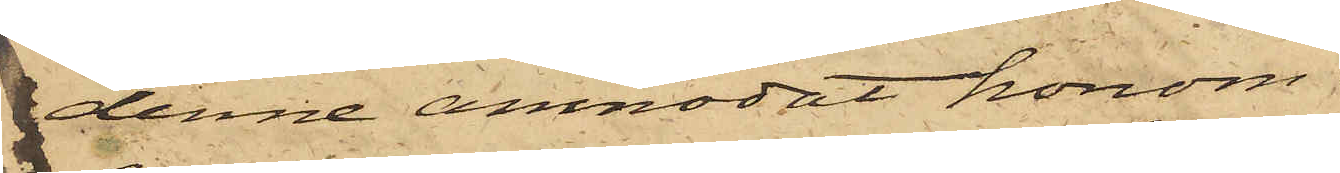denne anmodat honom
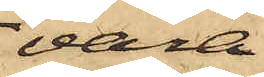vara
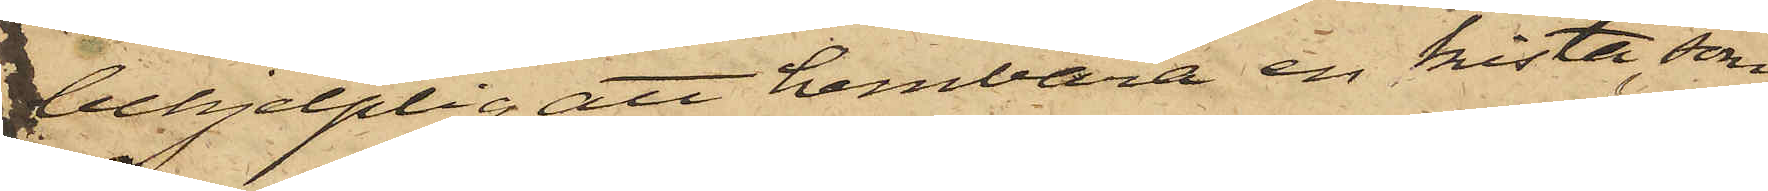tillhjelplig att hembära en kista, som
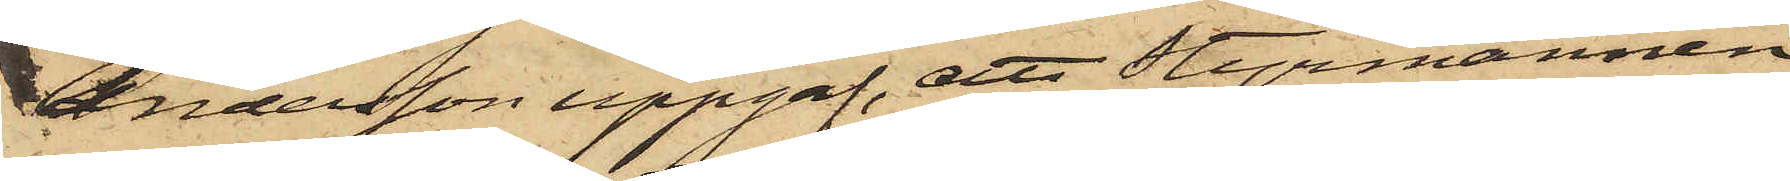Andersson uppgaf, att Styrmannen
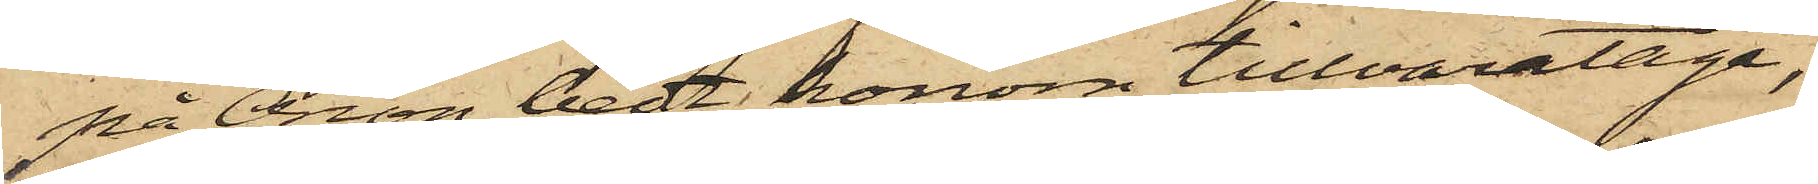på Orion bedt honom tillvarataga;
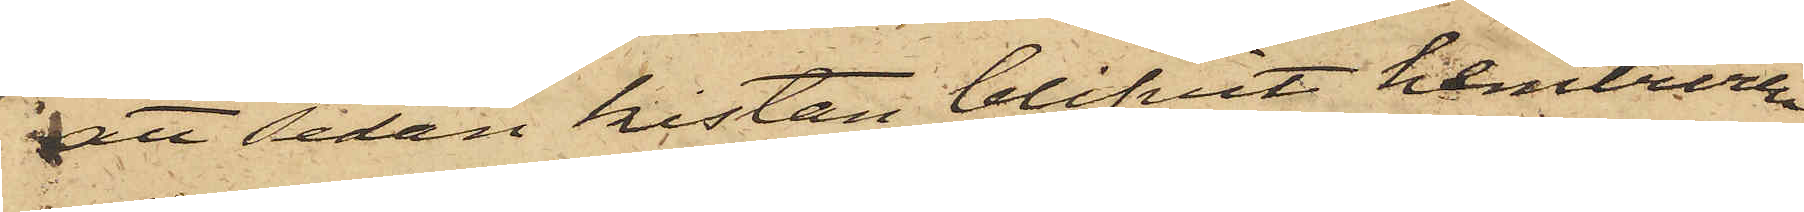att sedan kistan blifvit hemburen
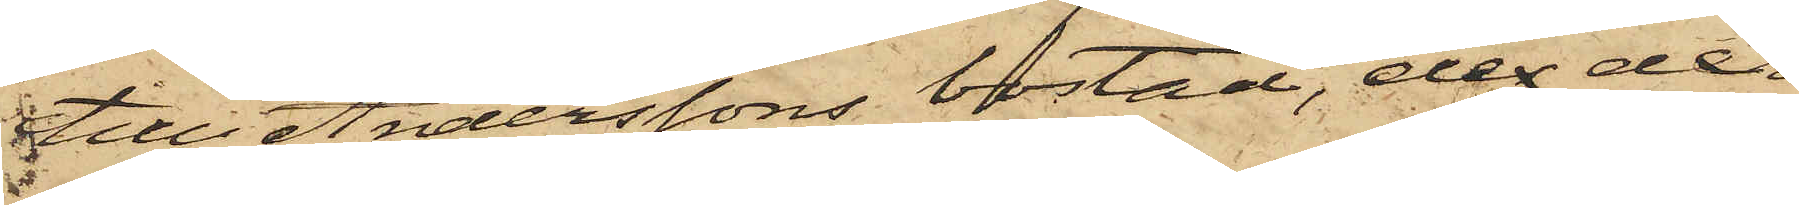till Anderssons bostad, der der
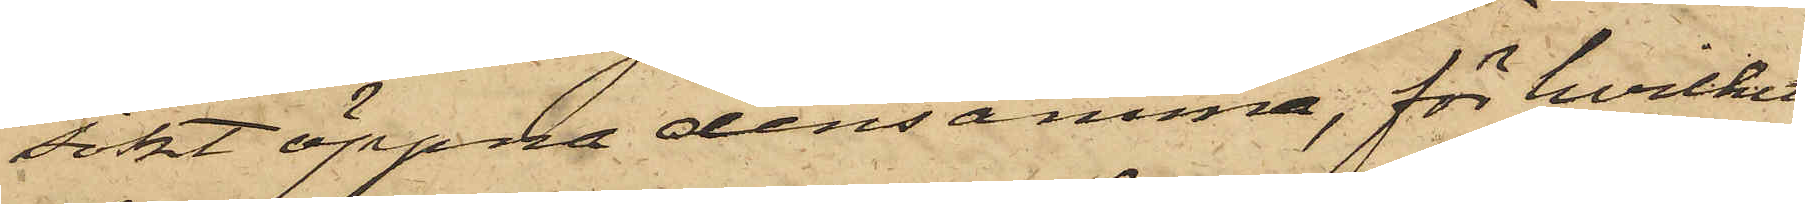sökt öppna densamma, för hvilket
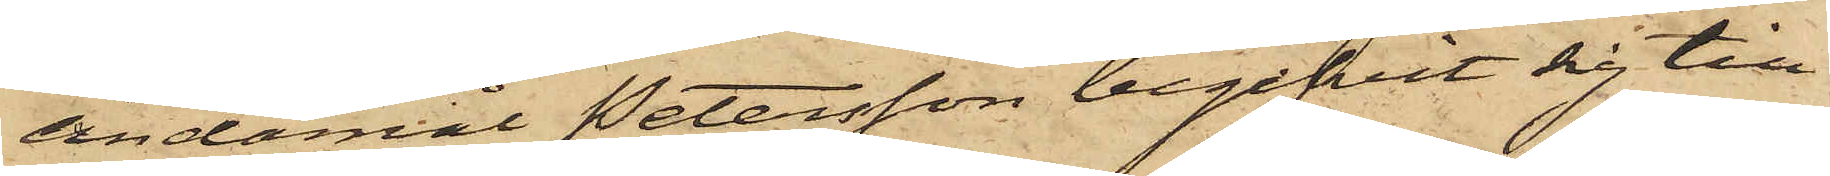ändamål Petersson begifvit sig till
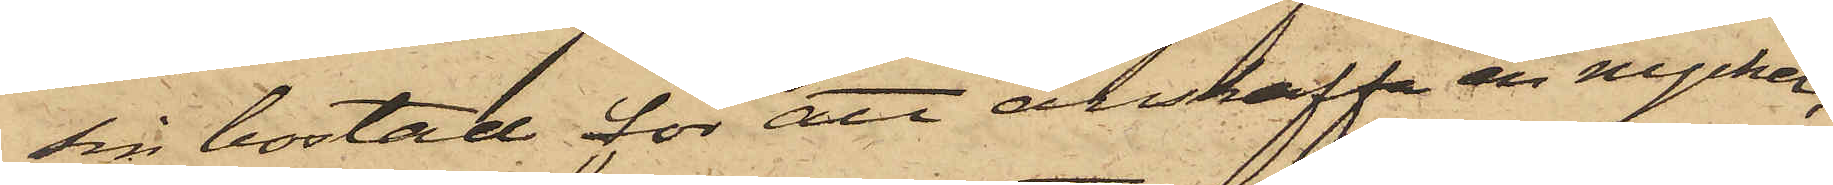sin bostad för att anskaffa en nyckel;
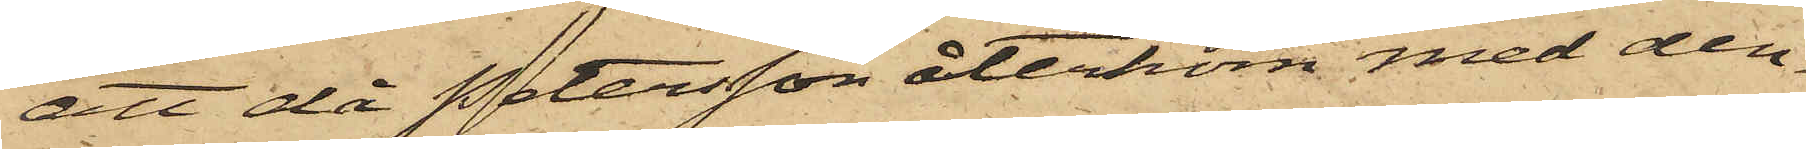att då Petersson återkom med den¬
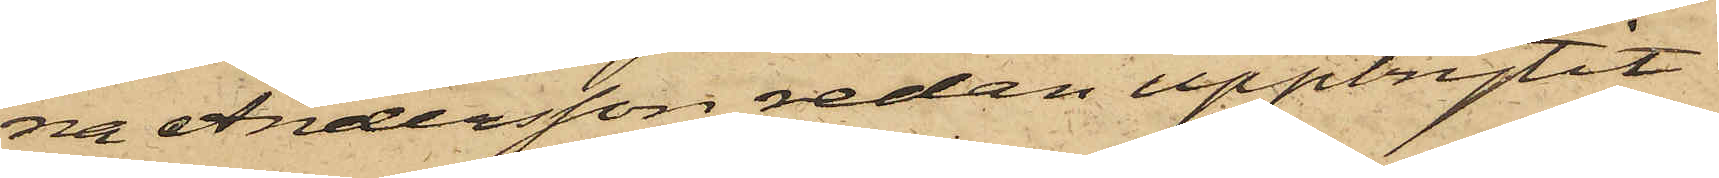na Andersson redan uppbrytit
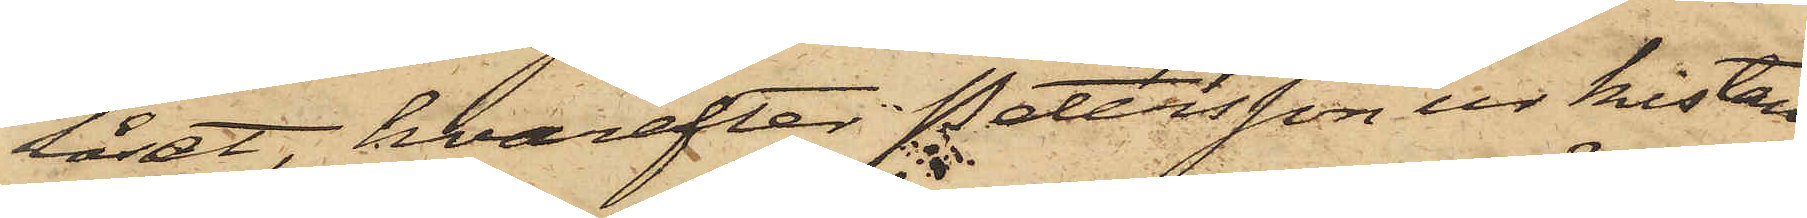låset, hvarefter Petersson ur kistan
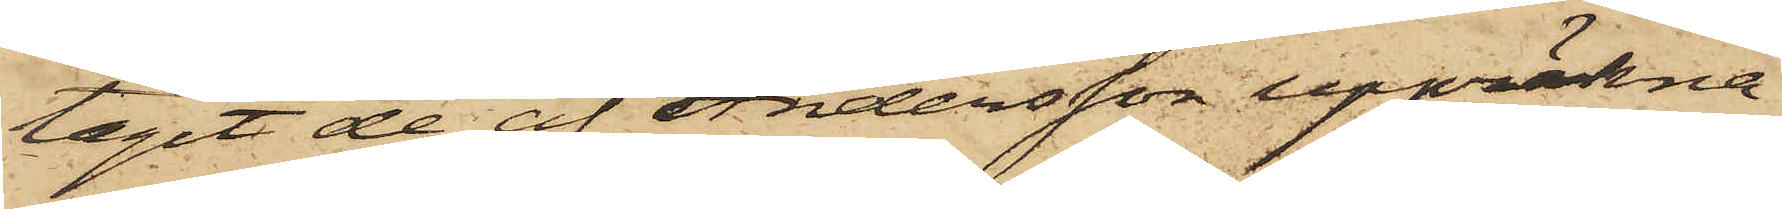tagit de af Andersson uppräkna¬
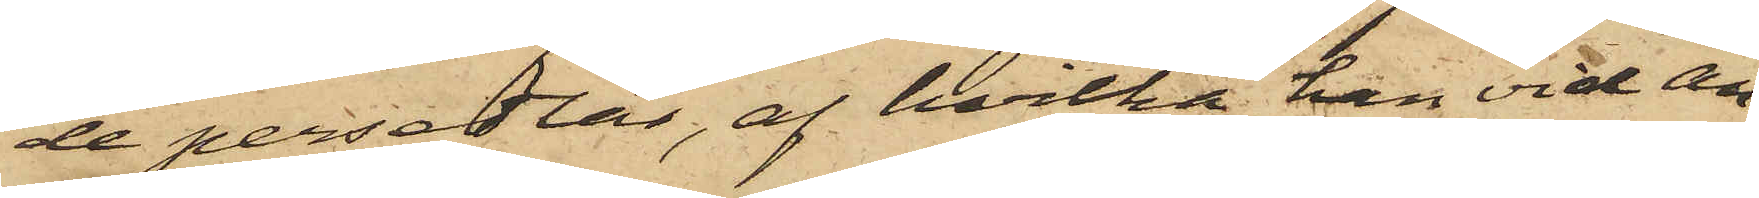de persedlar, af hvilka han vid an¬
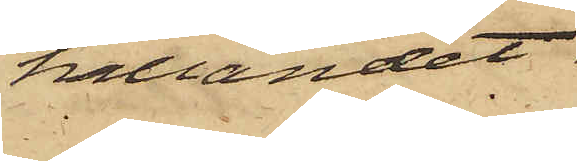hållandet
